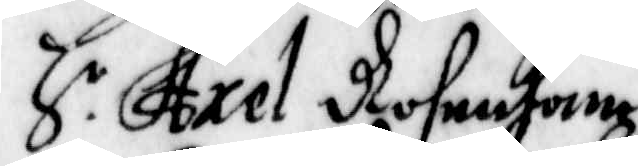H r Axel Rosenhane
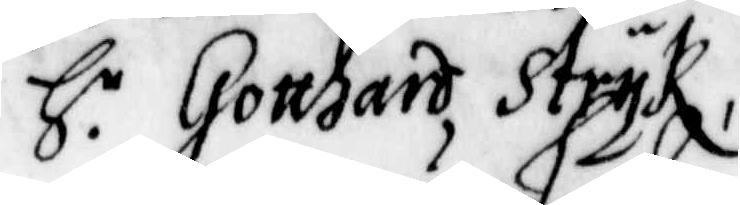H r Gotthard Stryk
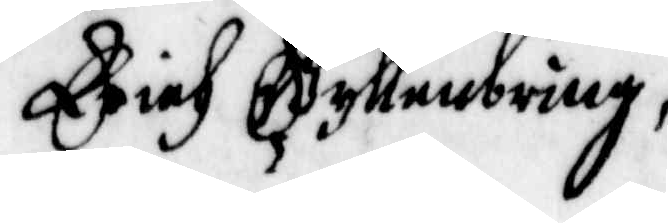Erich Gyllenbring
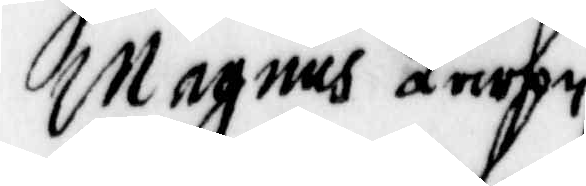Magnus Larson
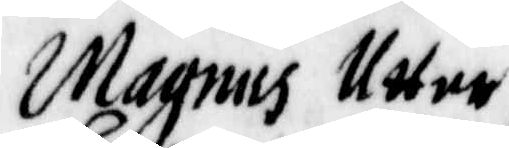Magus Utter
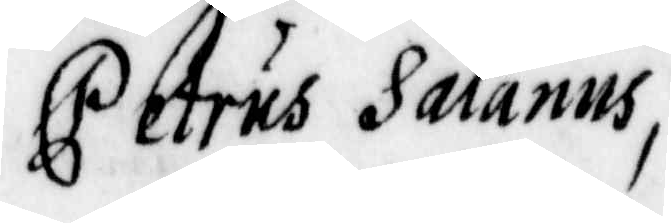Petrus Salanus
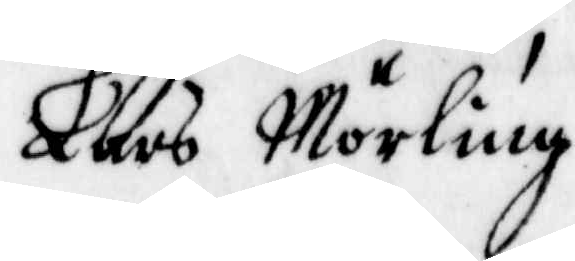Lars Mörling
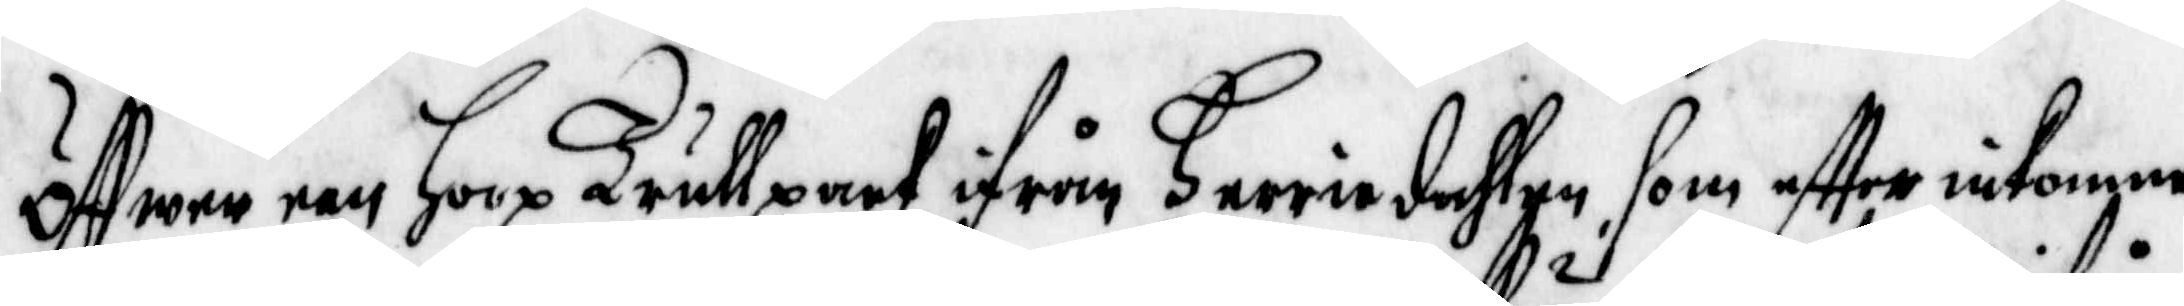Öffwer een Hoop Trullpack ifrån Heeriedahlen, som effter inkomne
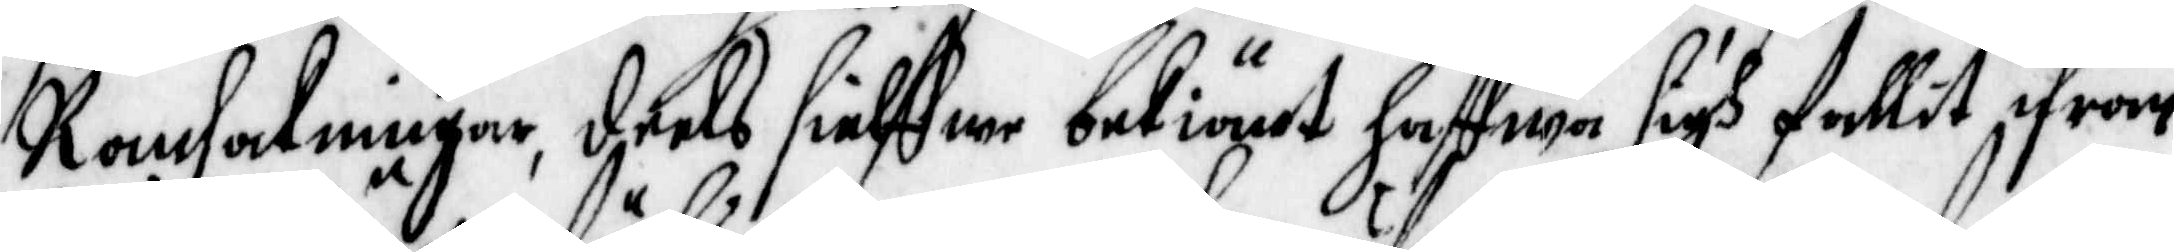Ransakningar, deels sielffwe bekiänt hafwa sigh fallit ifrån
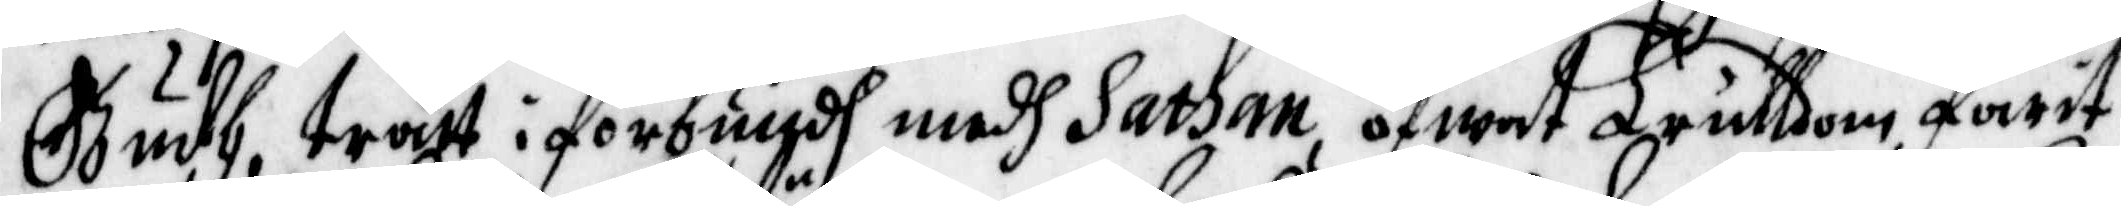Gudh, trätt i förbindh medh Sathan, öfwat Trulldom, farit
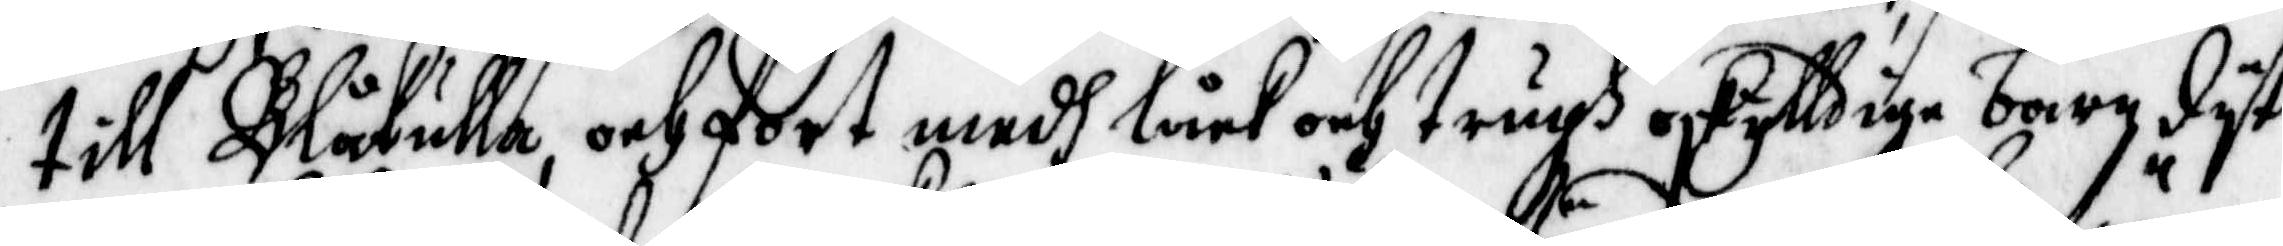till Blåkulla, och fört medh låck och trugh oskylldige barn dyt
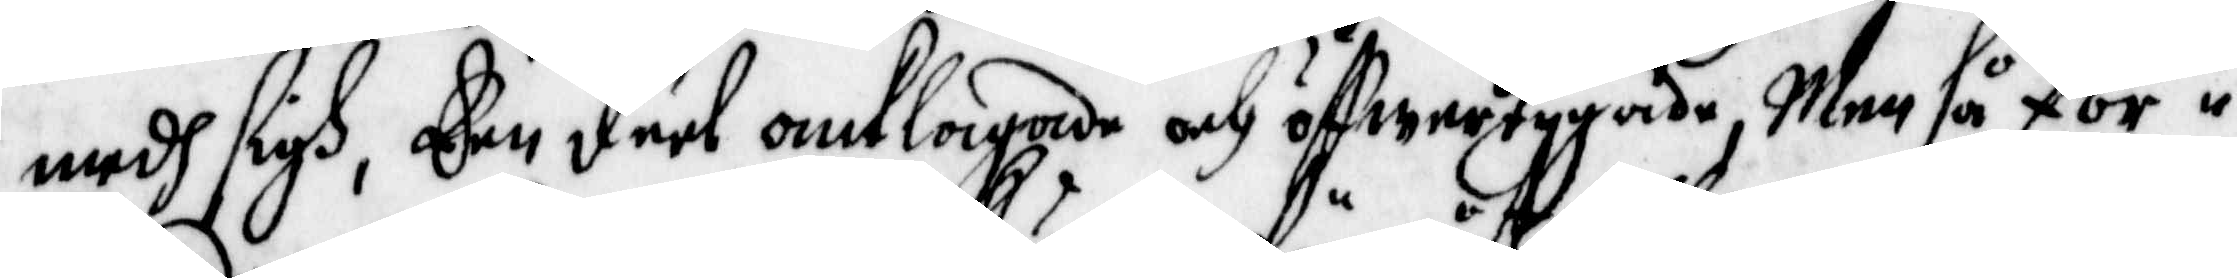medh sigh, Een deel anklagade och öffwertygade, Men så för¬
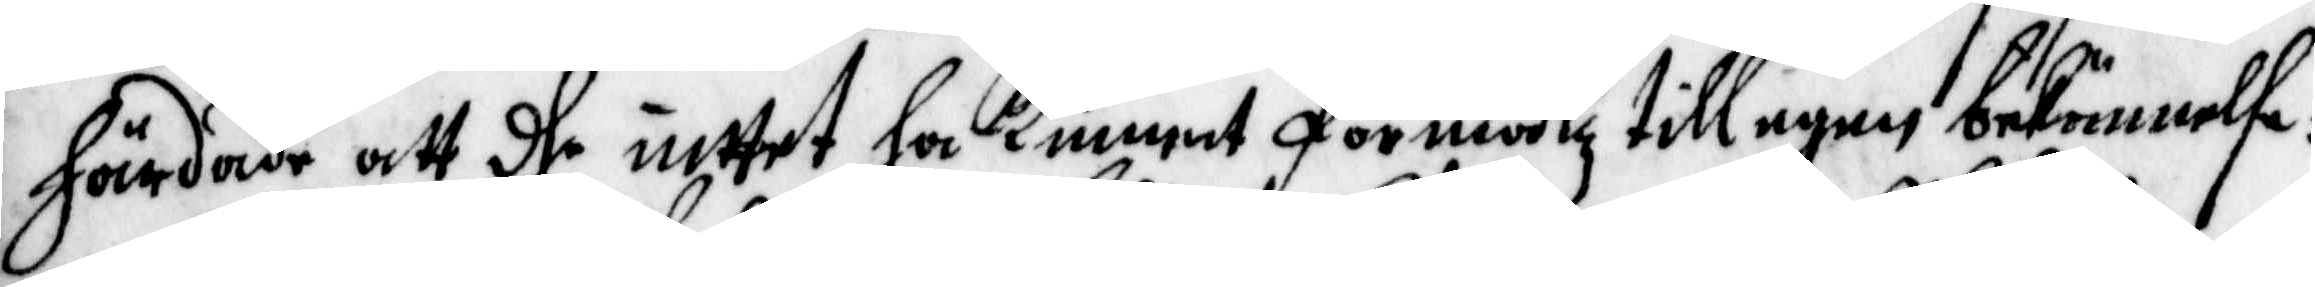härdade att dhe intet ha kunnat förmåtz till egen bekännelse:
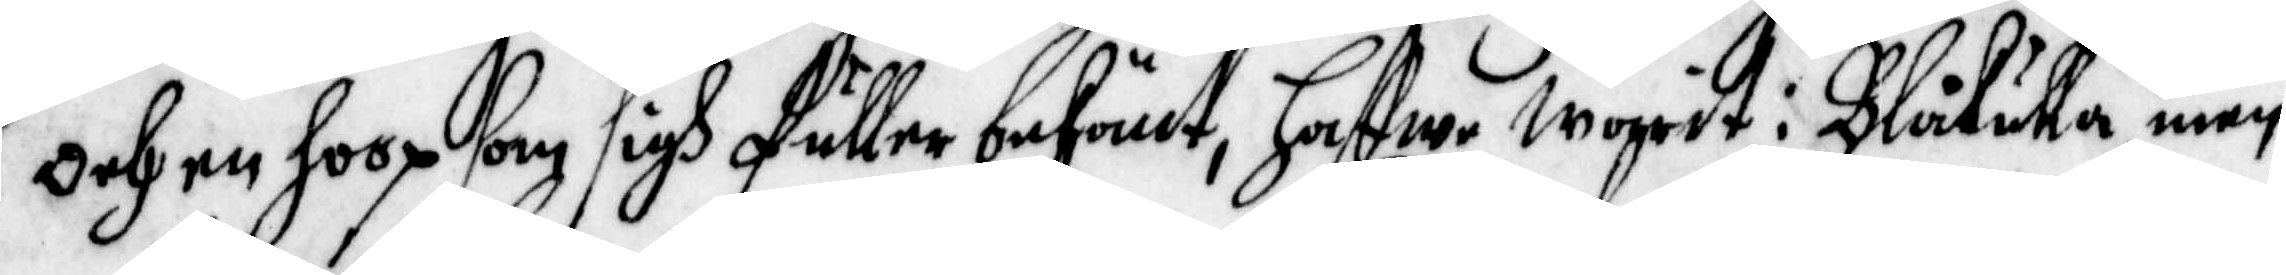Och en hoop som sigh fuller bekänt, haffwe warit i Blåkulla, men
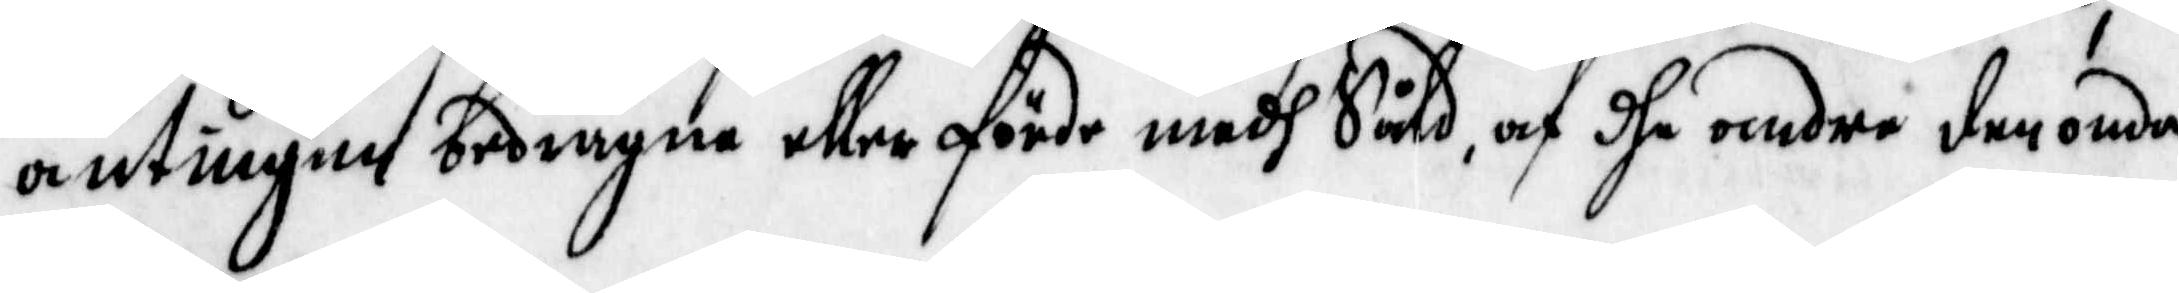antingen bedragne eller förde medh Såld, af andre den onda
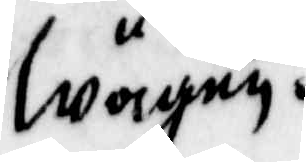wägen.
